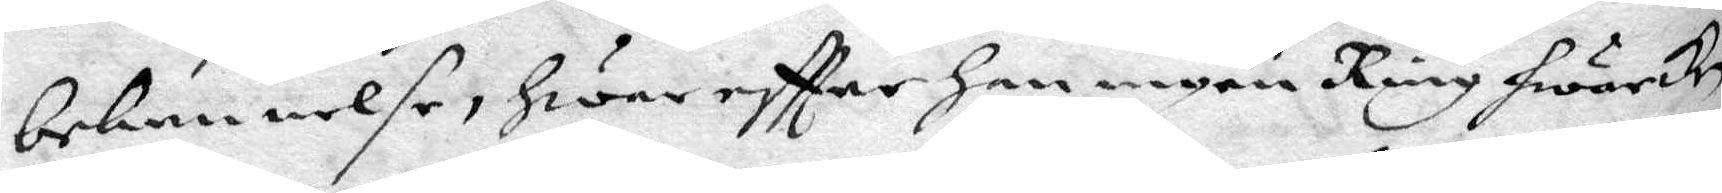bekennelse, Hwareftter han ingen Ring hwarcken
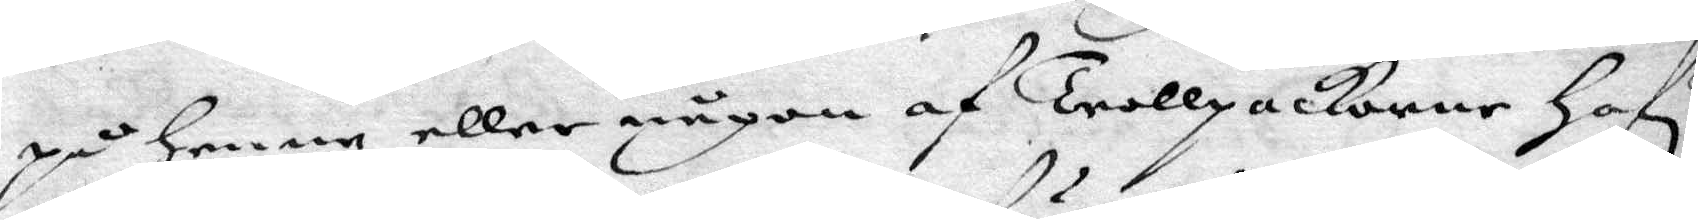på henne eller någon af Trollpackorne Hafr
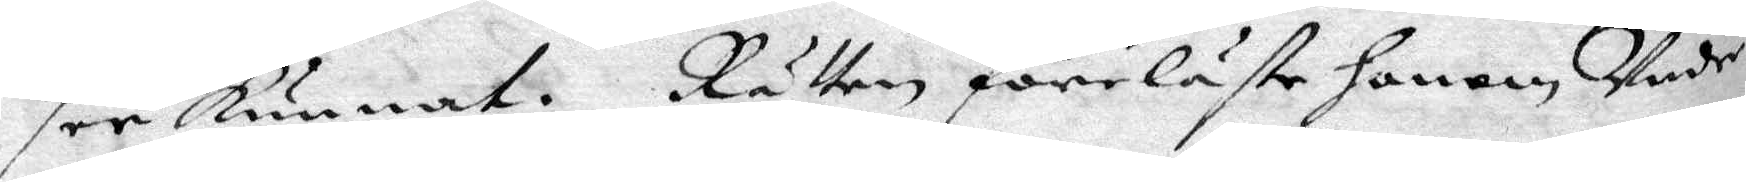see kunnat. Rätten föreläste honom Under¬
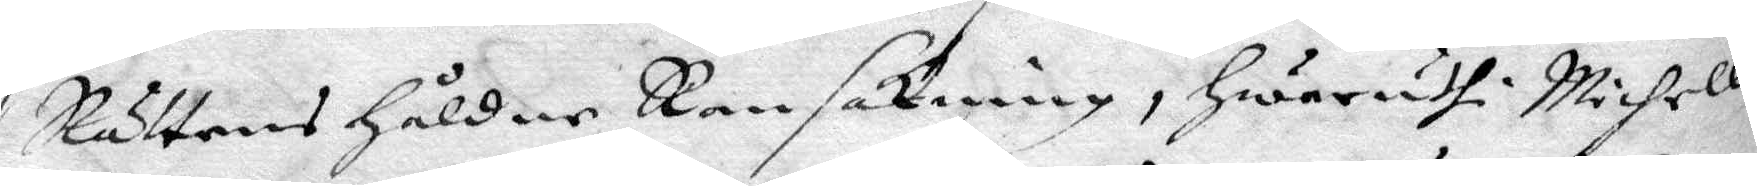Rättens Håldne Ransakning, Hwaruthi Michell
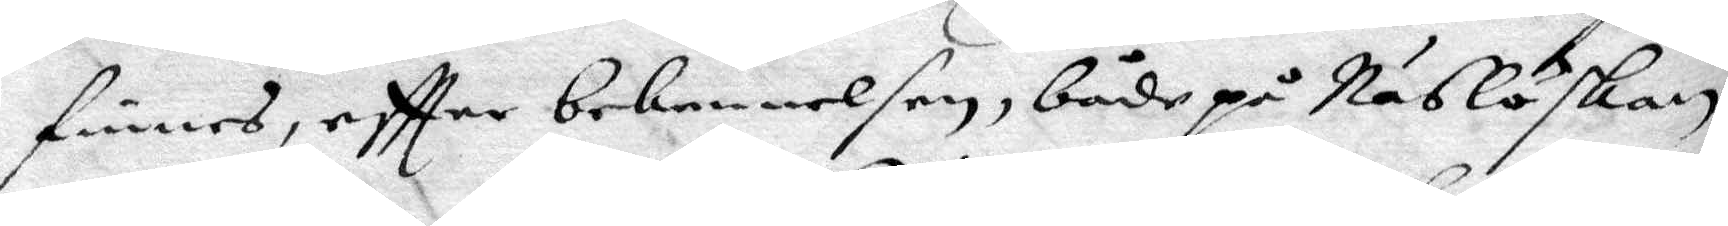finnes, eftter bekennelsen, både på Näslöskan
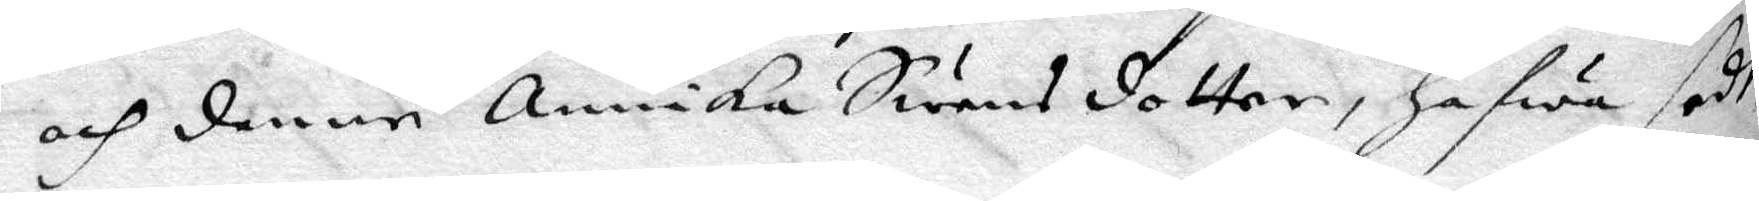och denne Annika Swensdotter, hafwa sedt
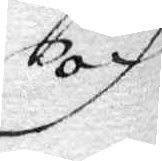och
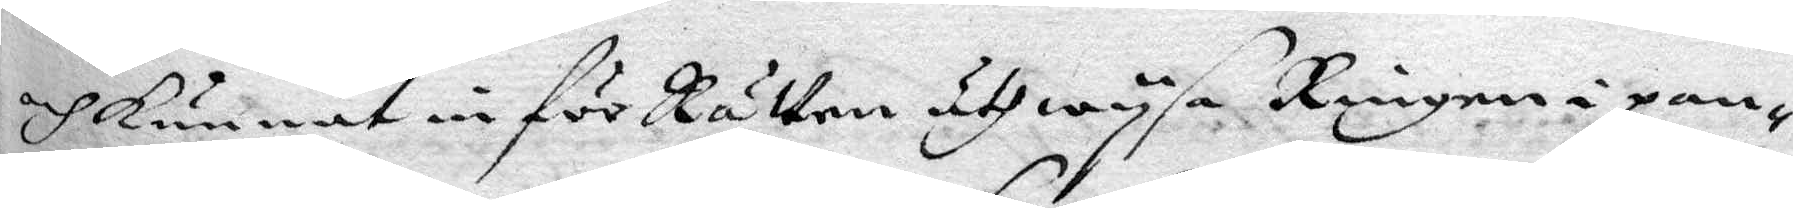och kunnat in för Rätten uthwysa, Ringen i pan¬
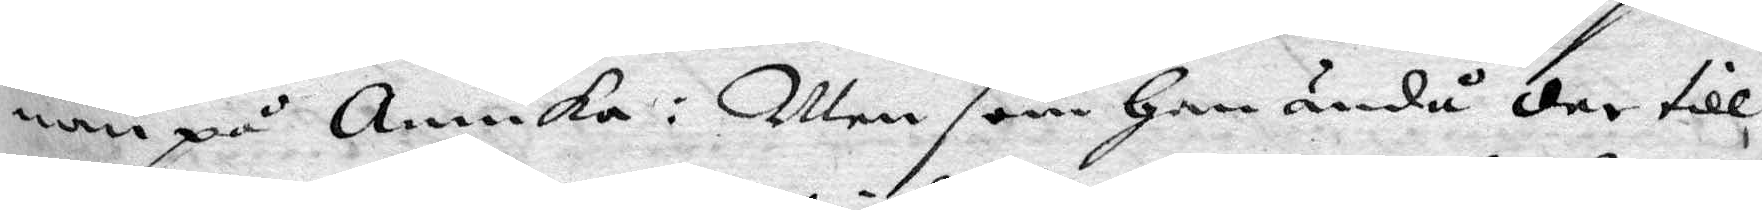nan på Annika, Men som Hon ändå der till
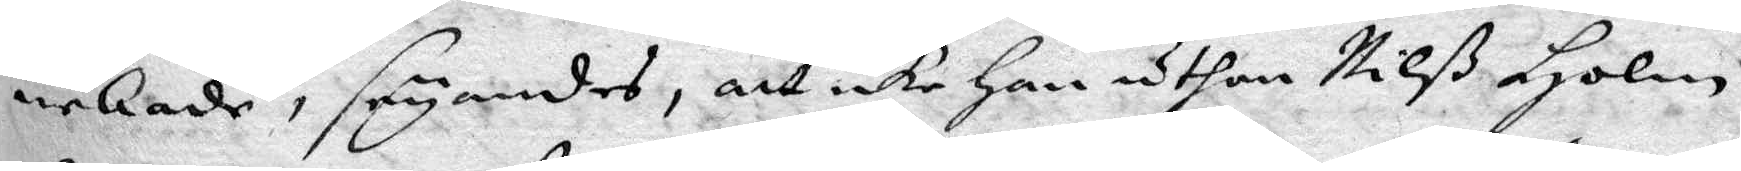nekade, säyandes, att icke han uthan Nilß Holm,
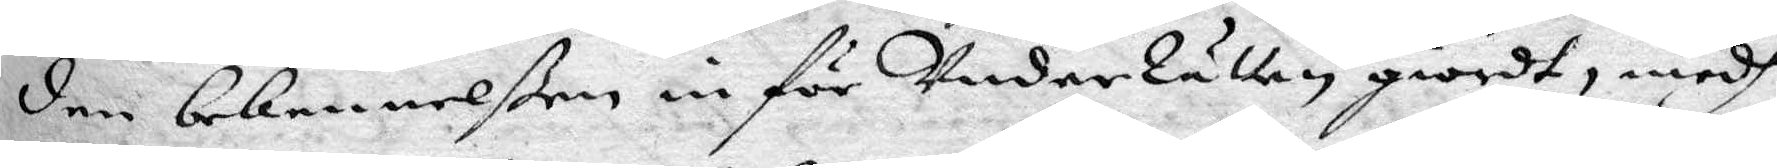den bekennelßen in för UnderRätten giordt, medh
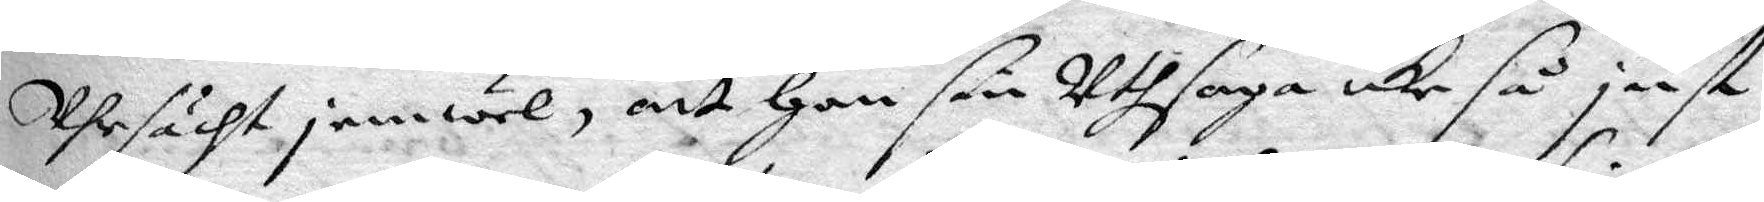Uhrsächt jemwel, att Han sin Uthsaga icke så just
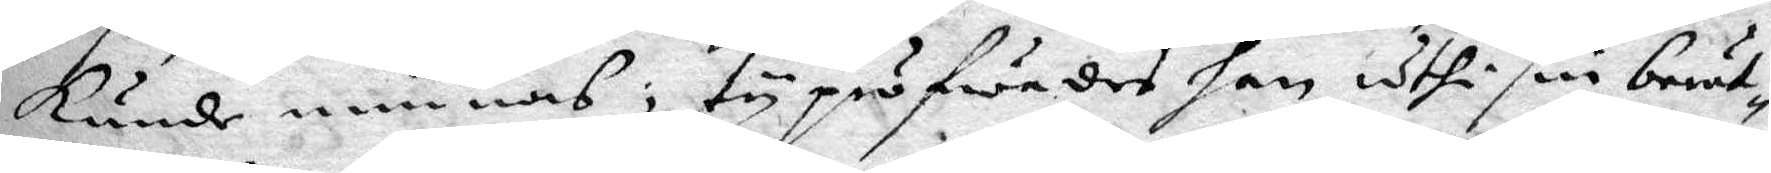kunde minnas, ty pröfwades han uthi sin berät¬
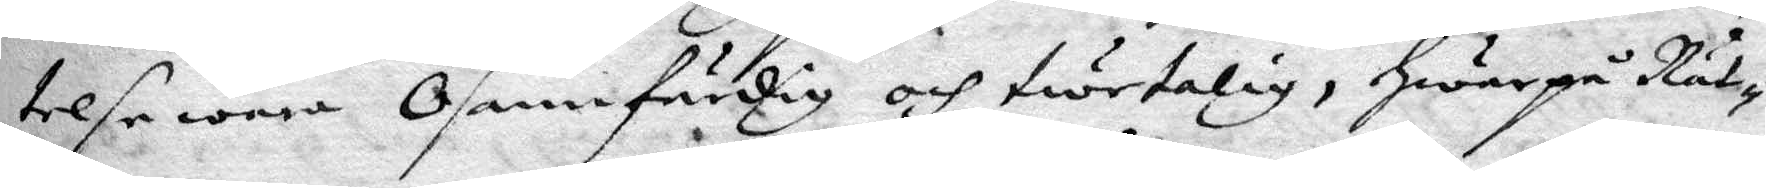telse wara Osannfärdig och twetalig, Hwarpå Rät¬
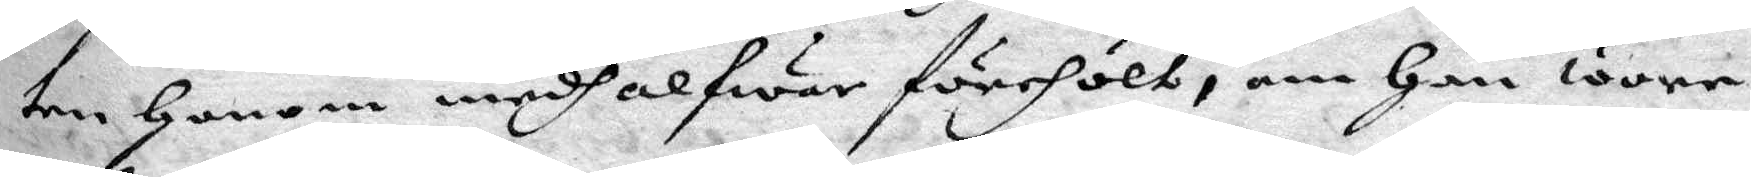ten Honom medh alfwar förehölt, om Han wore
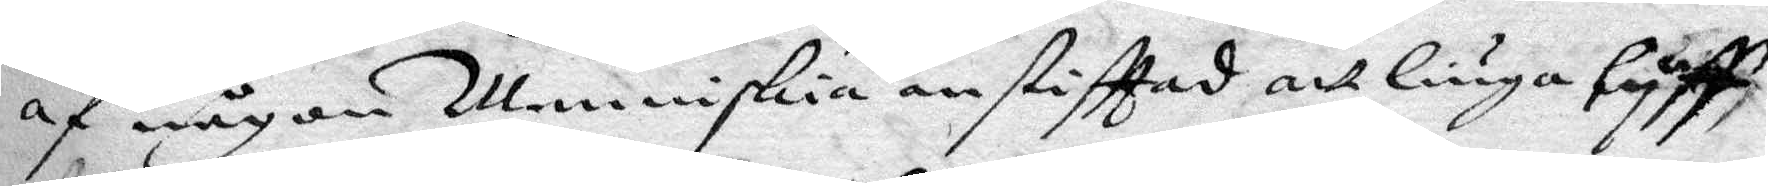af någon Menniskia anstifftad att liuga lyff,
